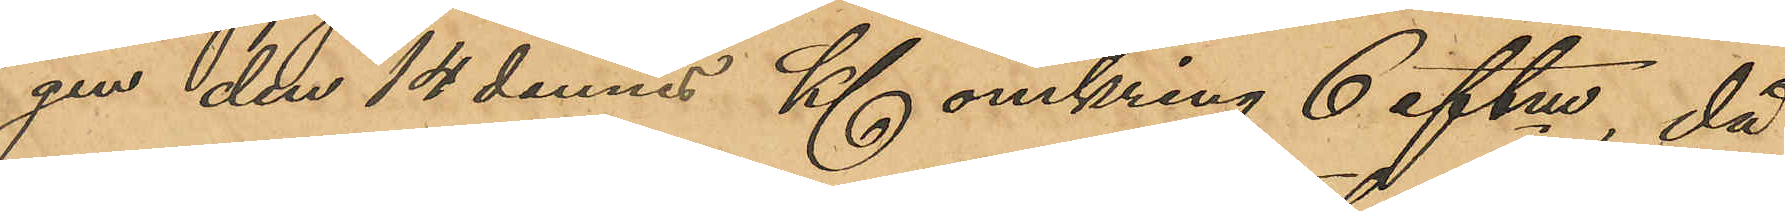gen den 14 dennes Kl omkring 6 eftm, då
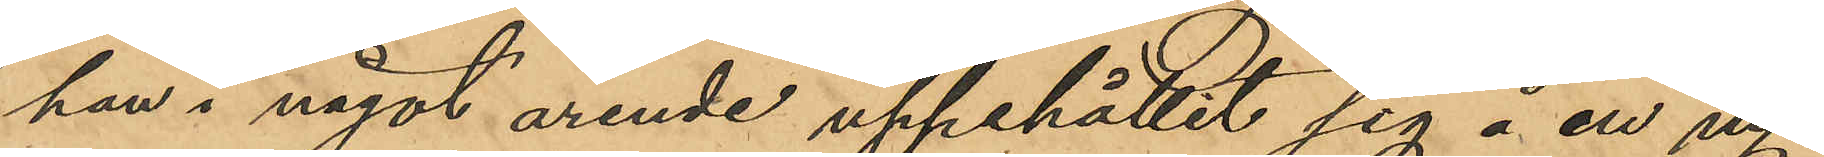han i något ärende uppehållit sig å en ny¬
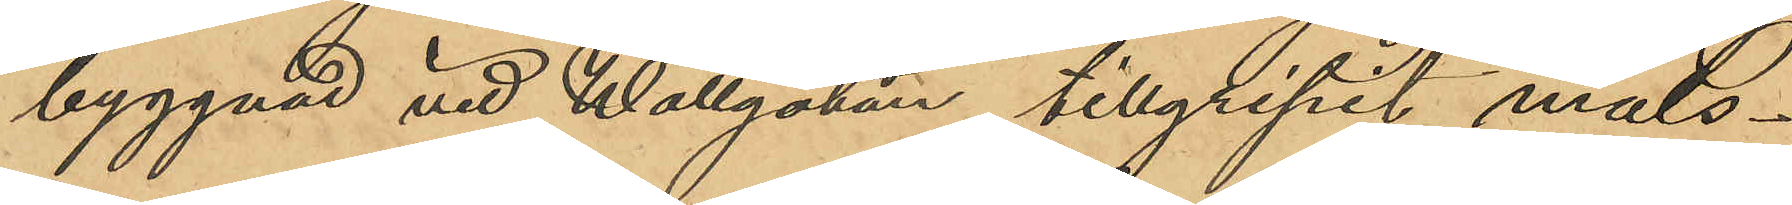byggnad vid Wallgatan tillgripit måls¬
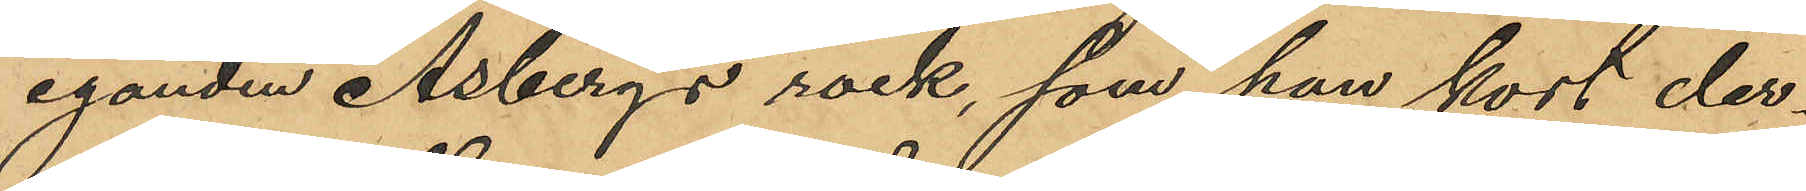eganden Åsbergs rock, som han kort der¬
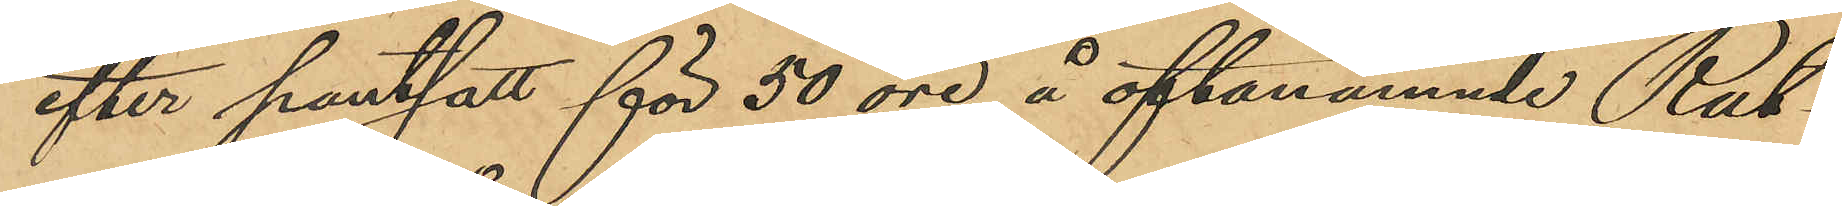efter pantsatt för 50 öre å oftanämnde Rut¬
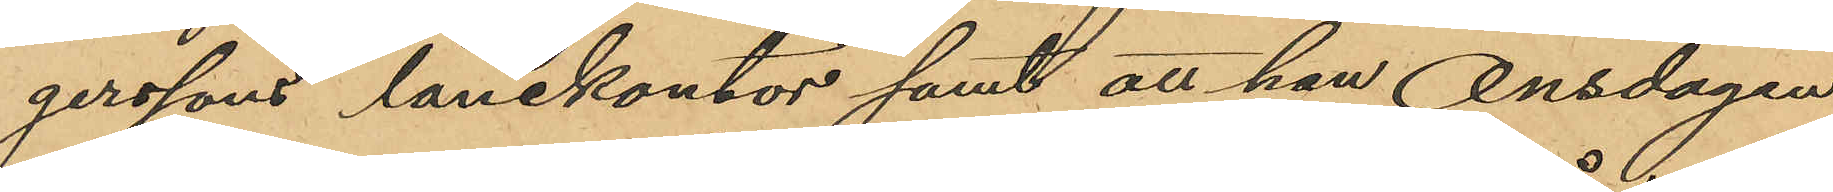gerssons lånekontor samt att han Onsdagen
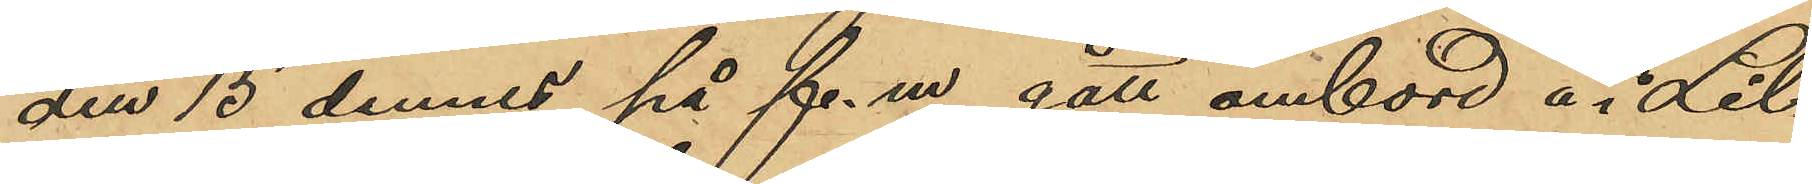den 15 dennes på f.m. gått ombord å i Lil¬
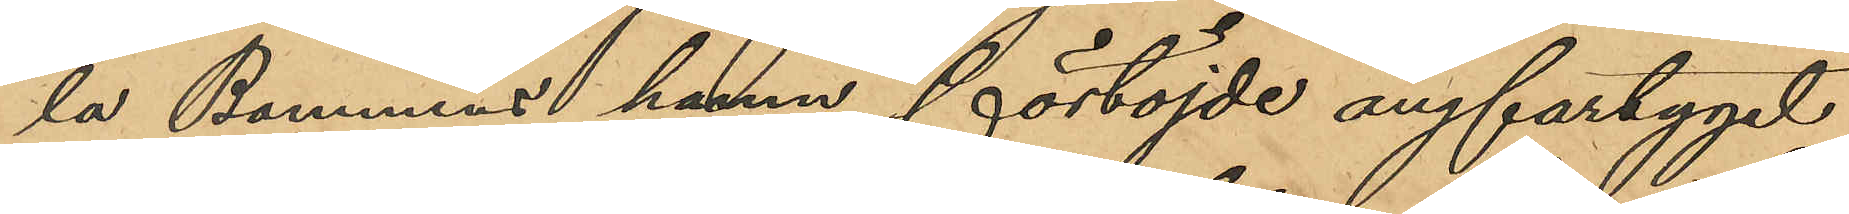la Bommens hamn förtöjde ångfartyget
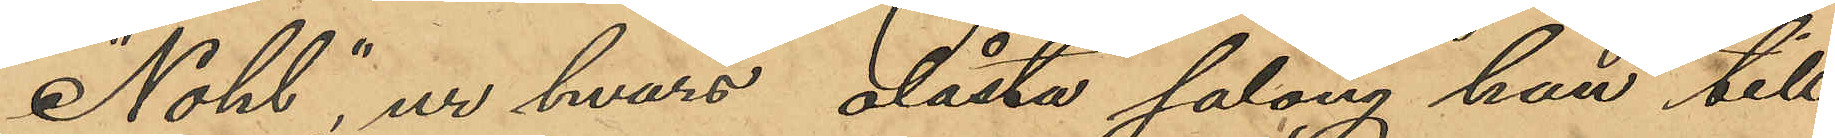"Nohl", ur hvars olåsta salong han till¬
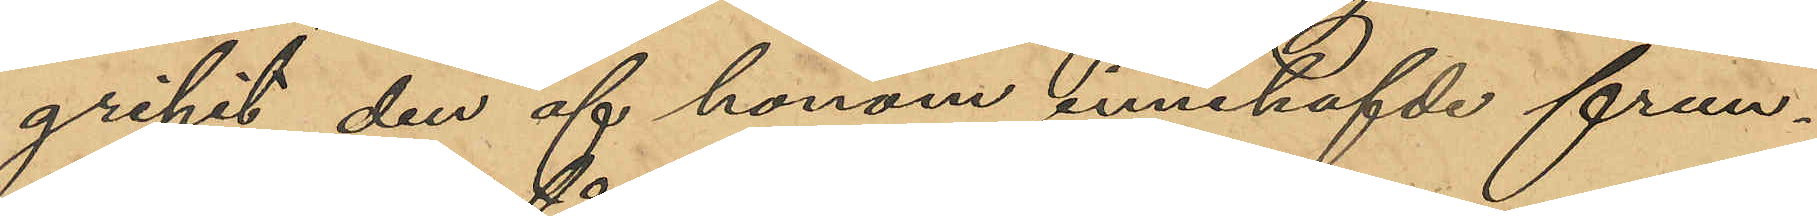gripit den af honom innehafvde frun¬
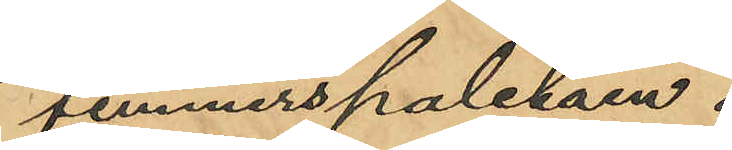timmerspaletån.
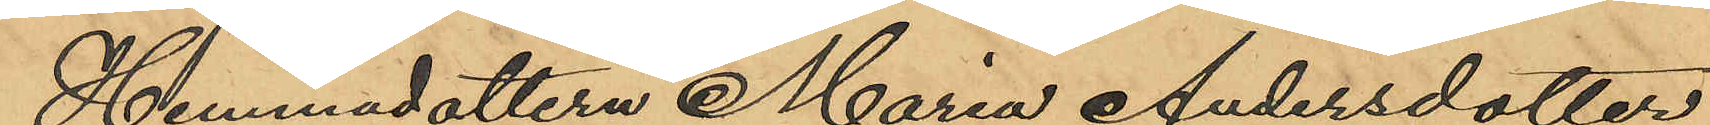Hemmadottern Maria Andersdotter
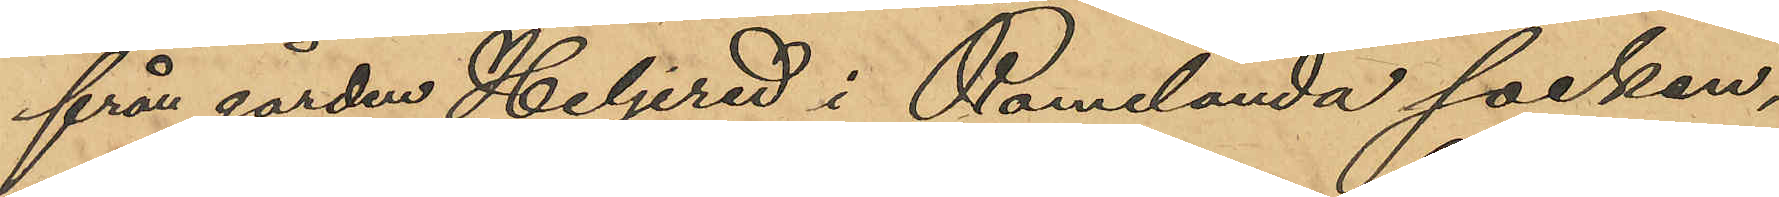från gården Heljered i Romelanda socken,
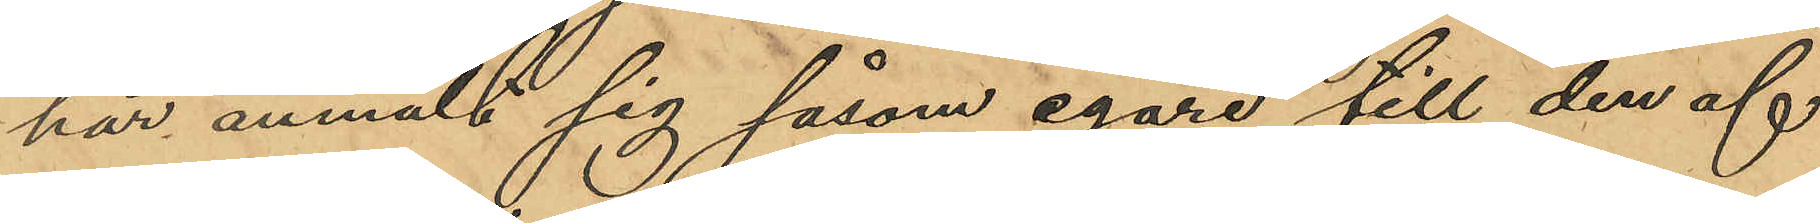har anmält sig såsom egare till den af
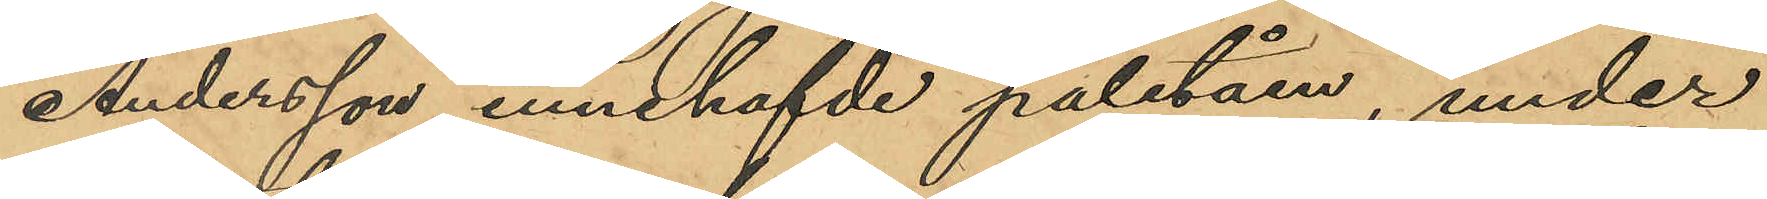Andersson innehafvde paletån, under
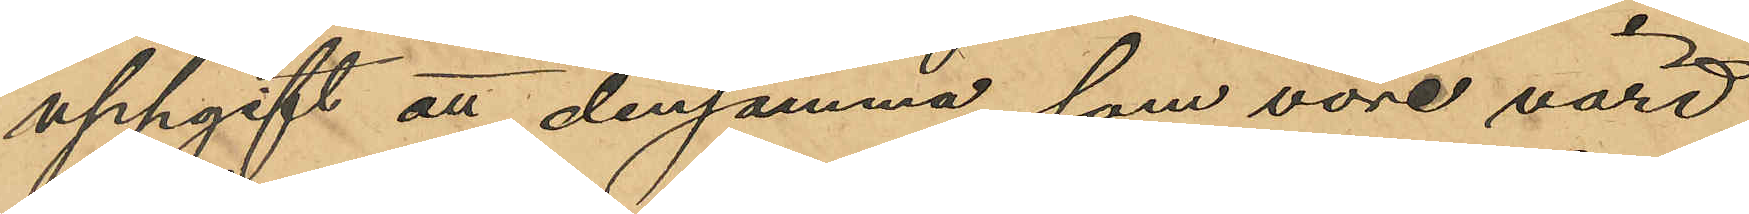uppgift att densamma, som vore värd
